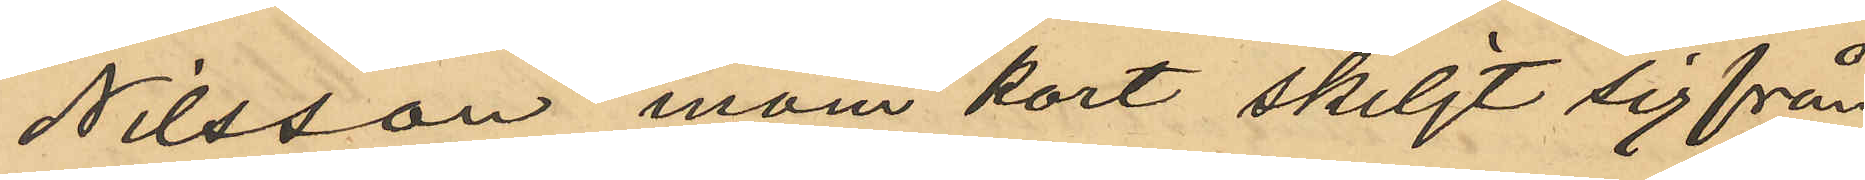Nilsson inom kort skiljts sig från
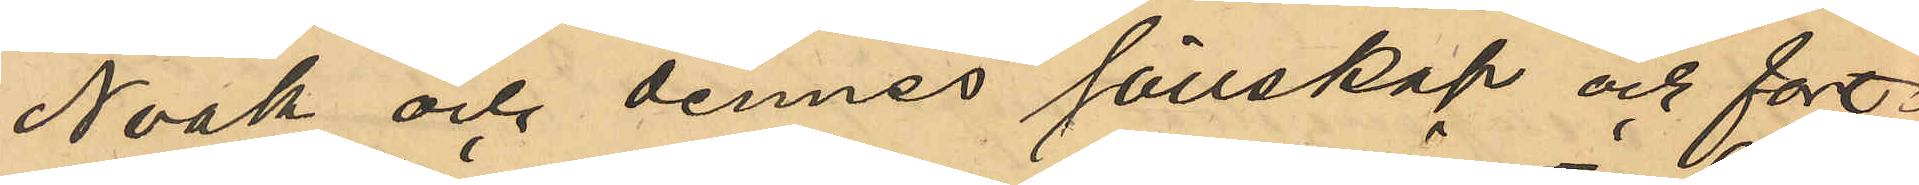Noak och dennes sällskap och fort¬
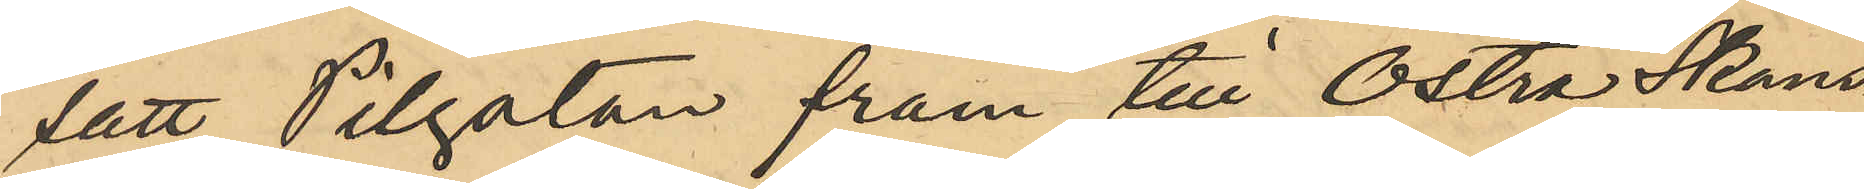satt Pilgatan fram till Östra Skans¬
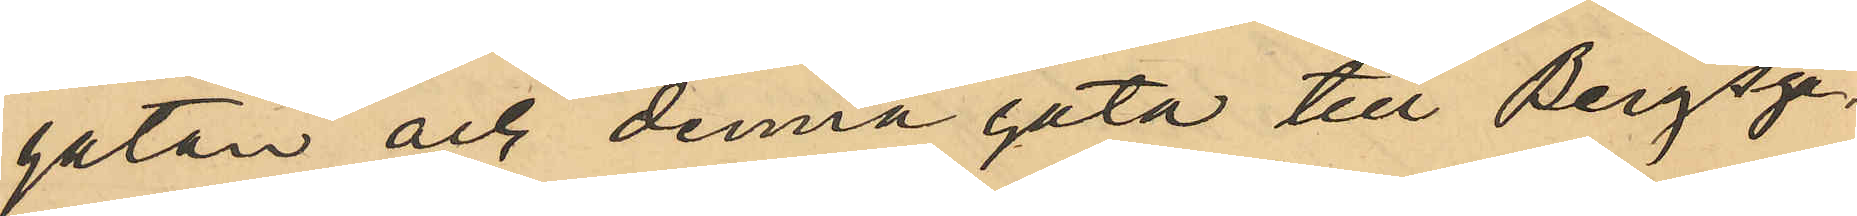gatan och denna gata till Bergsga¬
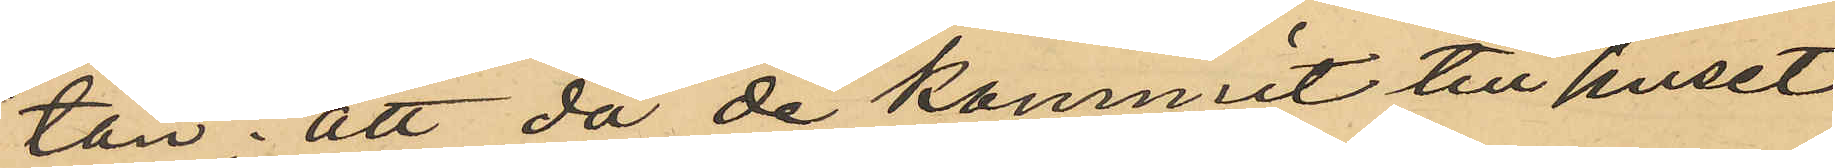tan; att då de kommit till huset
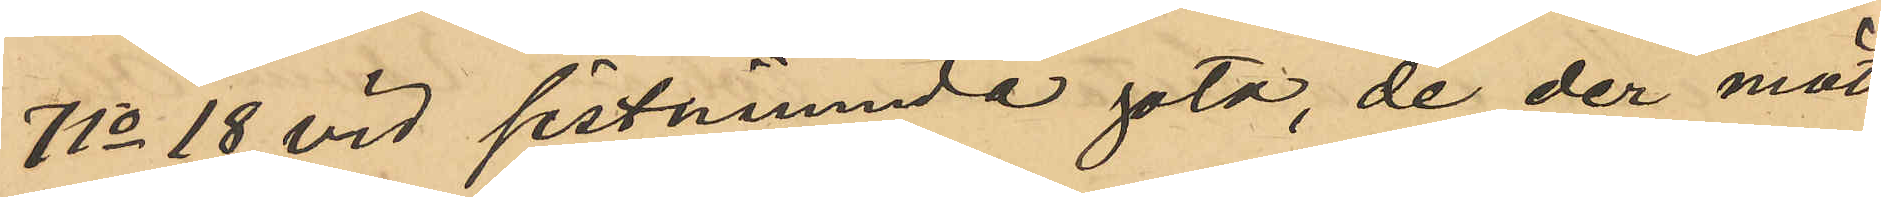No 18 vid sistnämnde gata, de der mött
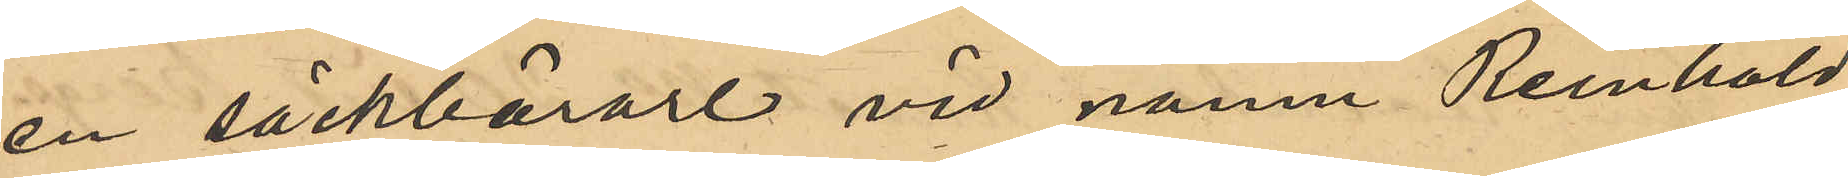en säckbärare vid namn Reinhold
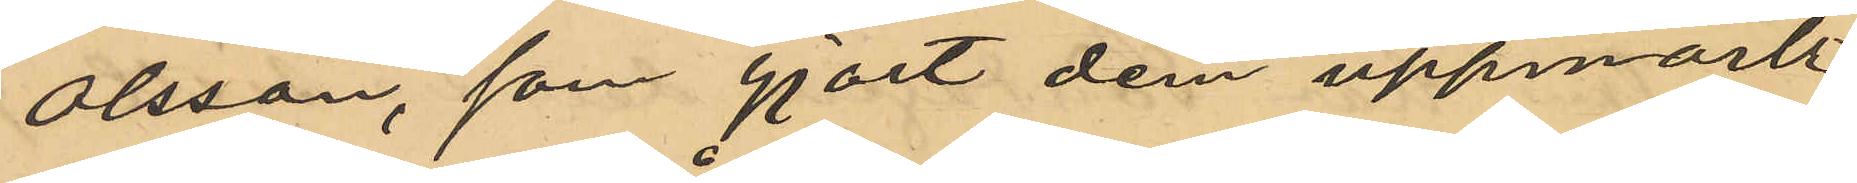Olsson, gjort dem uppmärk¬
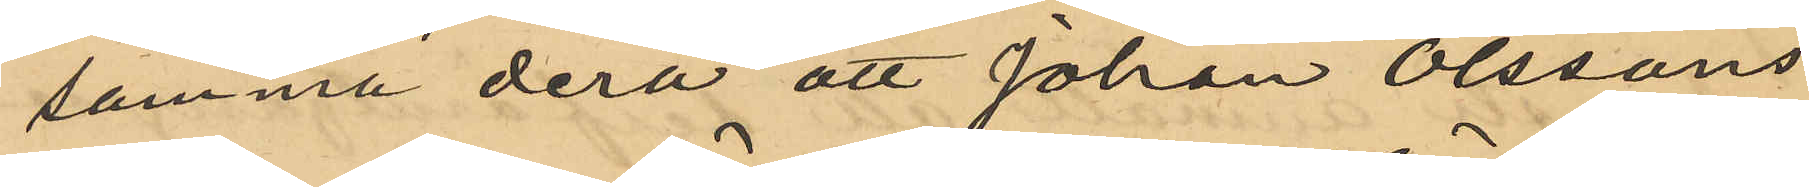samma derå att Johan Olssons
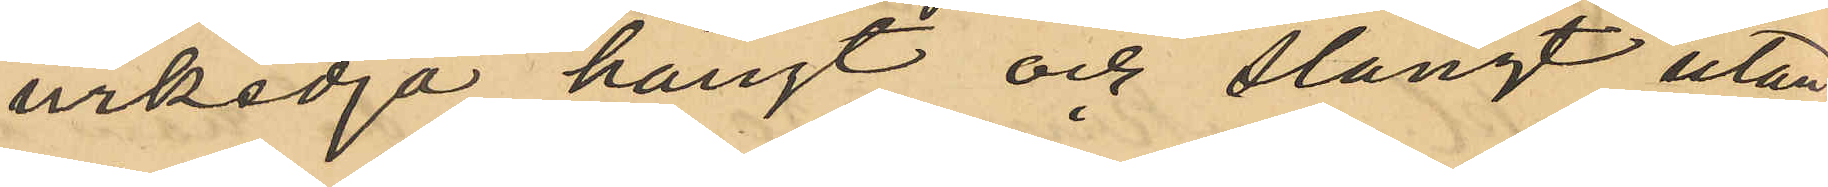urkedja hängt och slängt utan¬
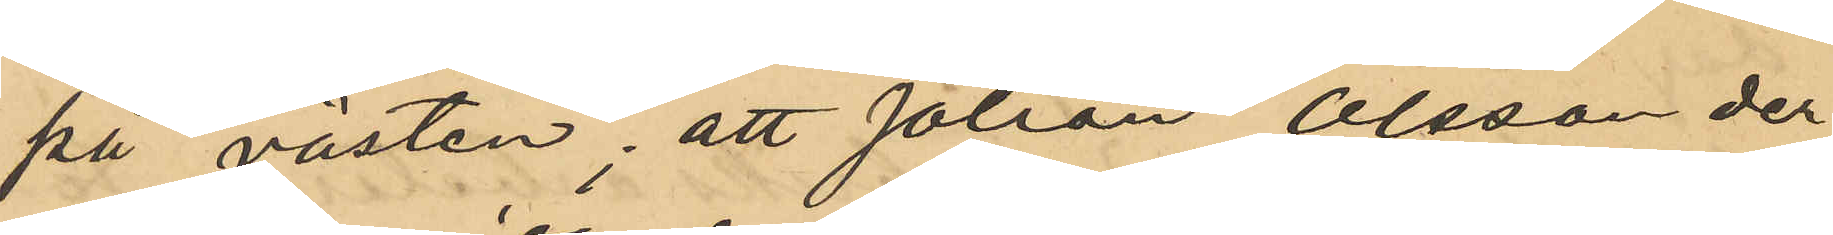på västen; att Johan Olsson der¬
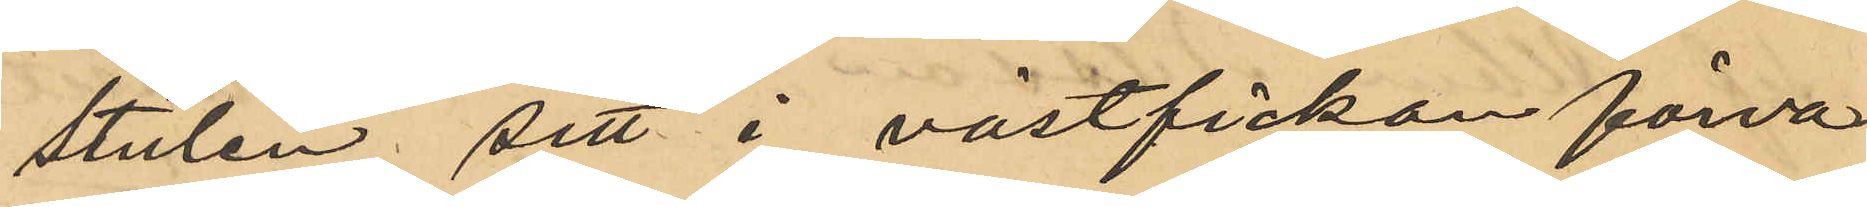stulen sitt i västfickan förva¬
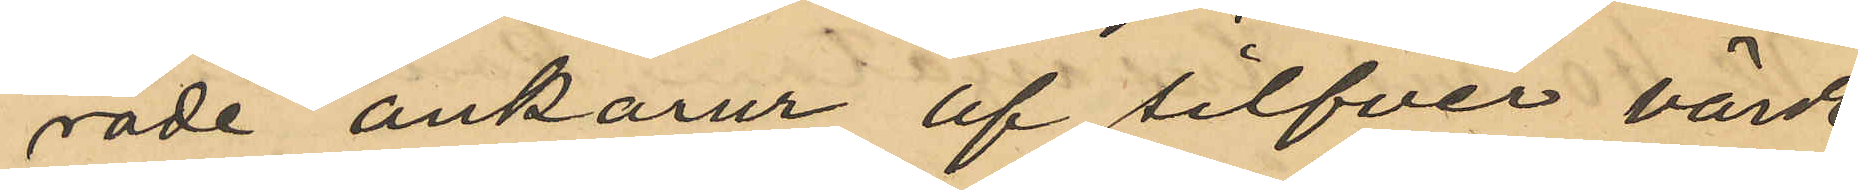rade ankarur af silfver värdt
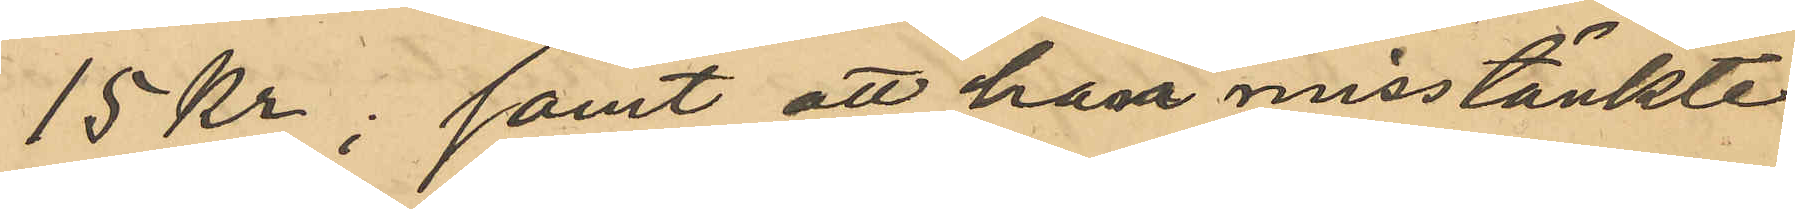15 Kr; samt att han misstänkte
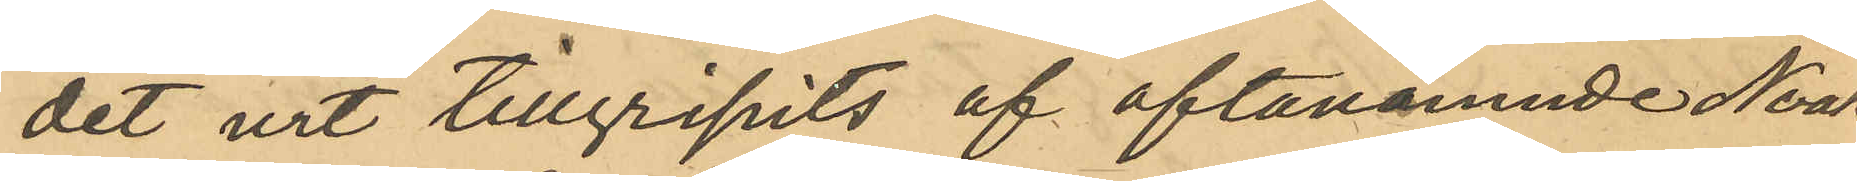det uret tillgripits af oftanämnde Noak
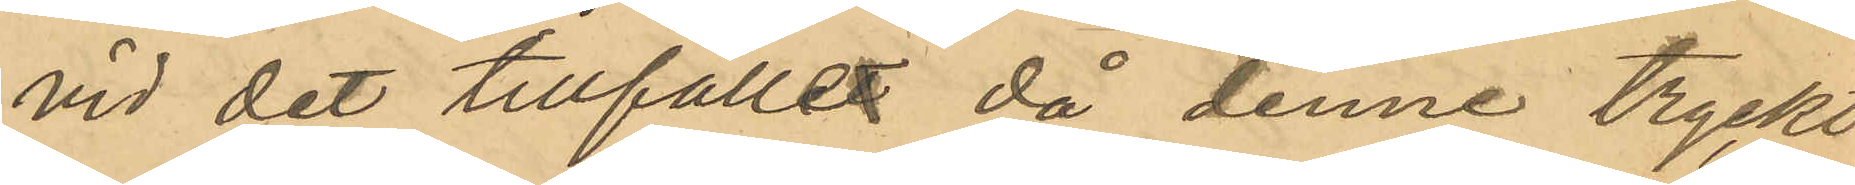vid det tillfället då denne tryckt
